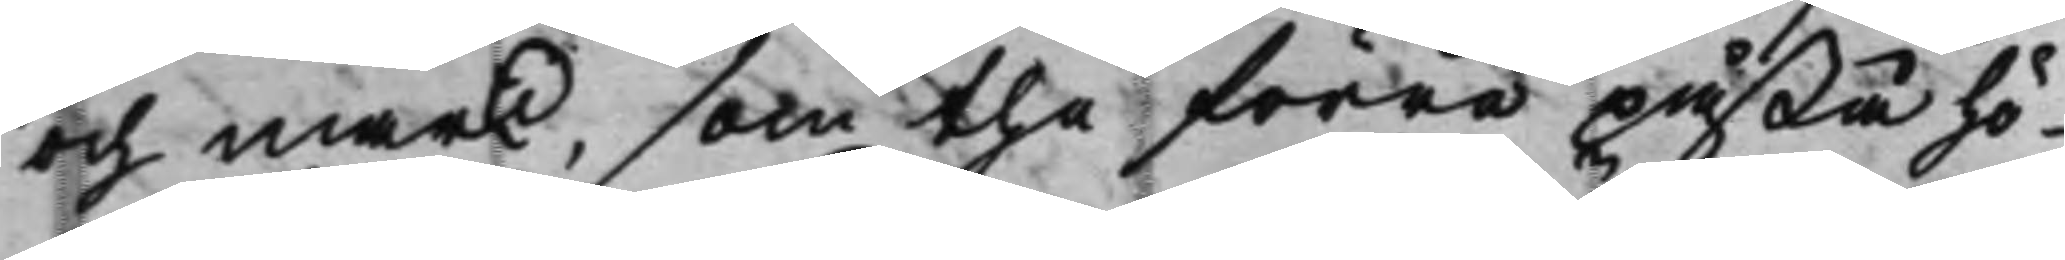och mark, som the förre påstå hö¬
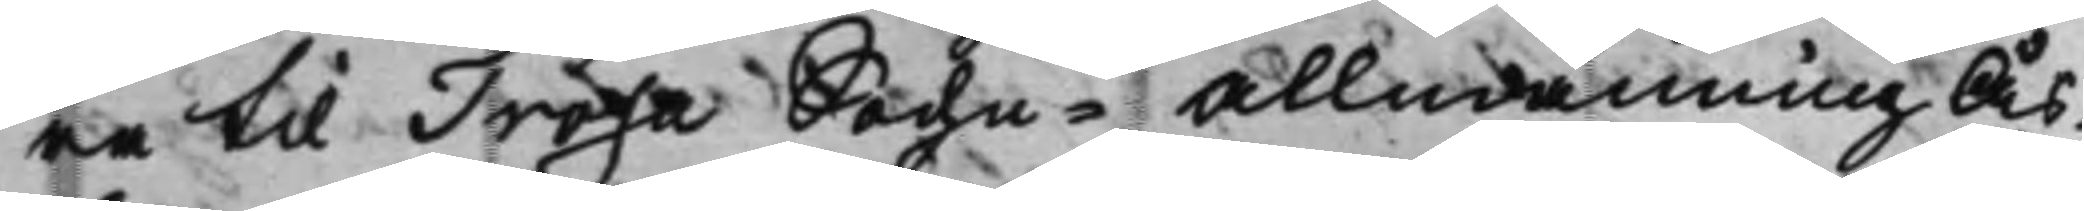ra til Trosa Sochn-Allmänning Ås¬
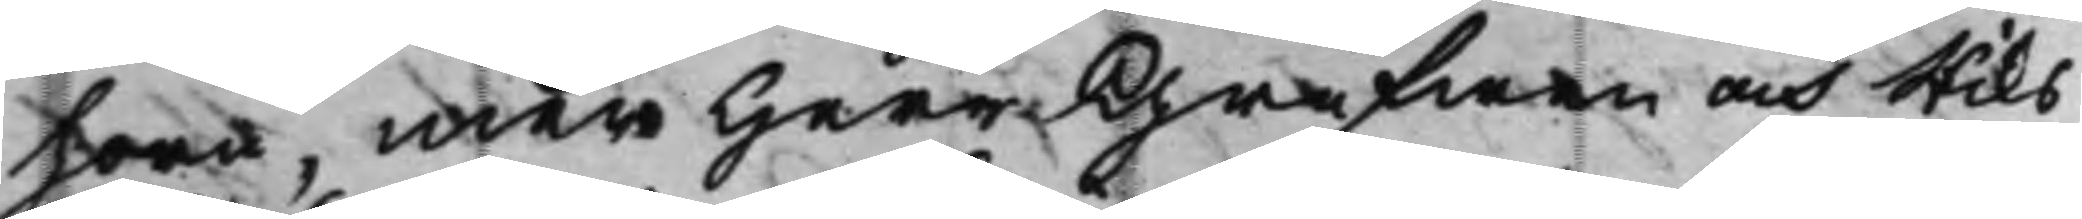horn, men Herr Grefwen och Riks¬
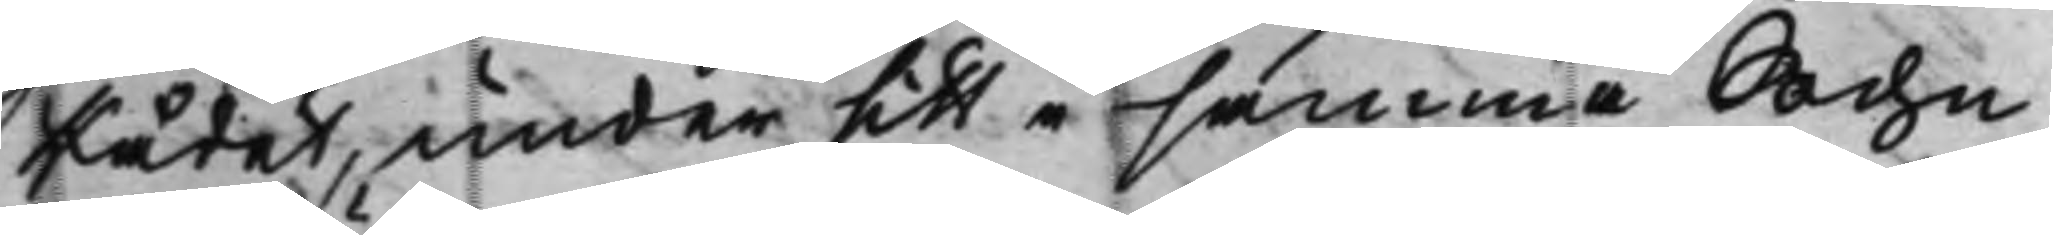Rådet, under sitt i samma Sochn
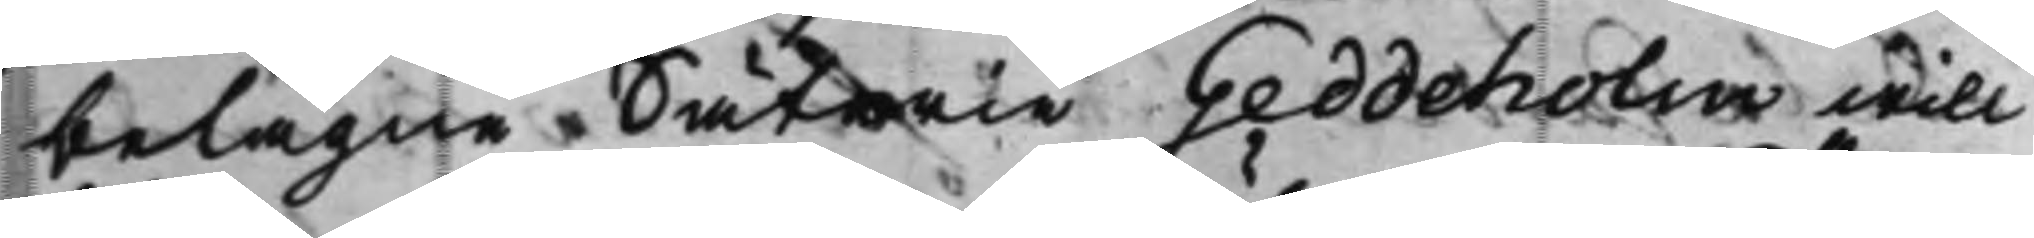belägne Säterie Geddeholm will
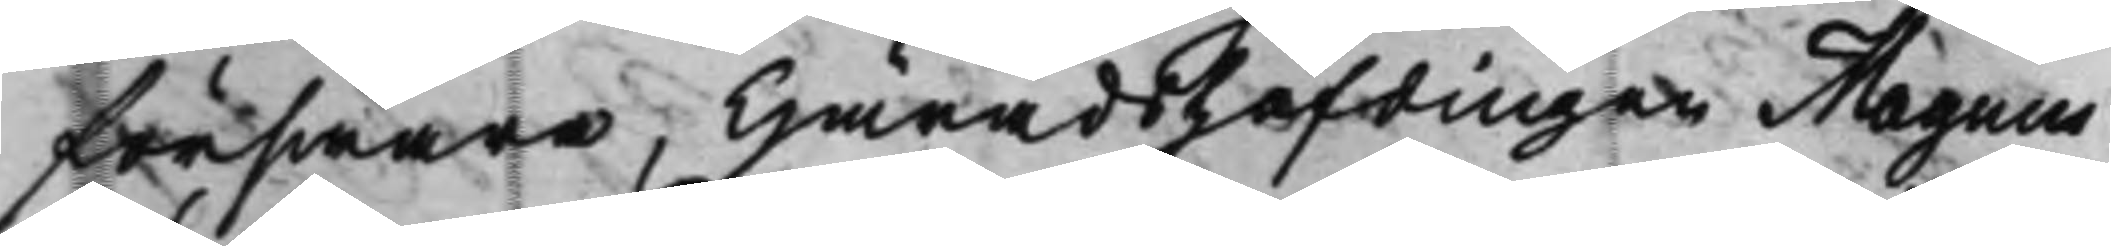förswara, Häradshöfdingen Magnus
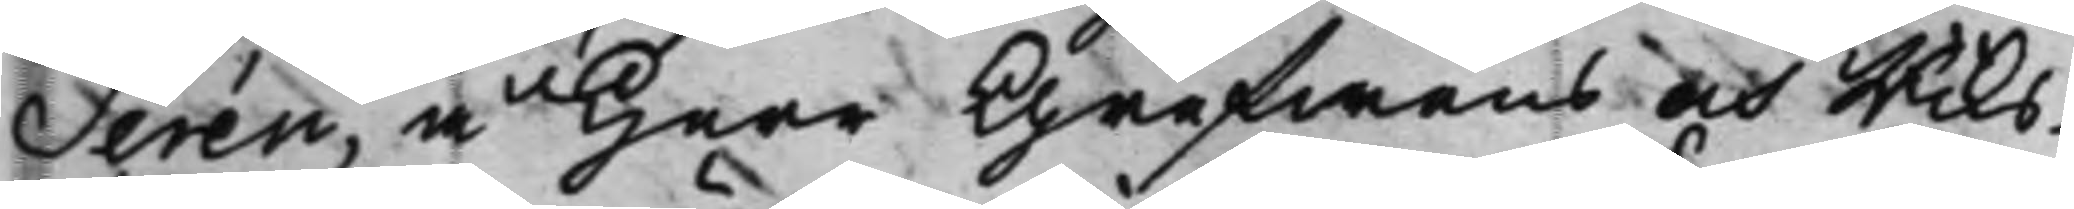Serén, å Herr Grefwens och Riks¬
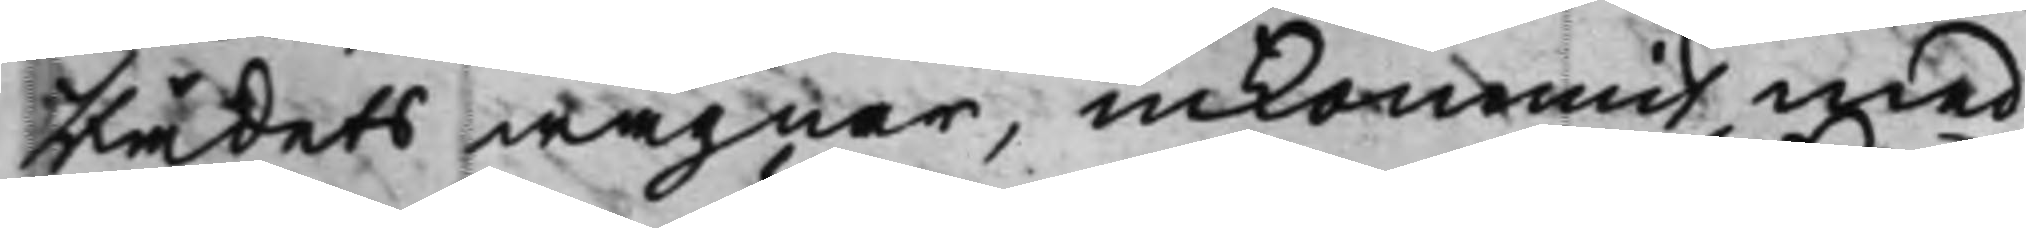Rådets wägnar, inkommit med
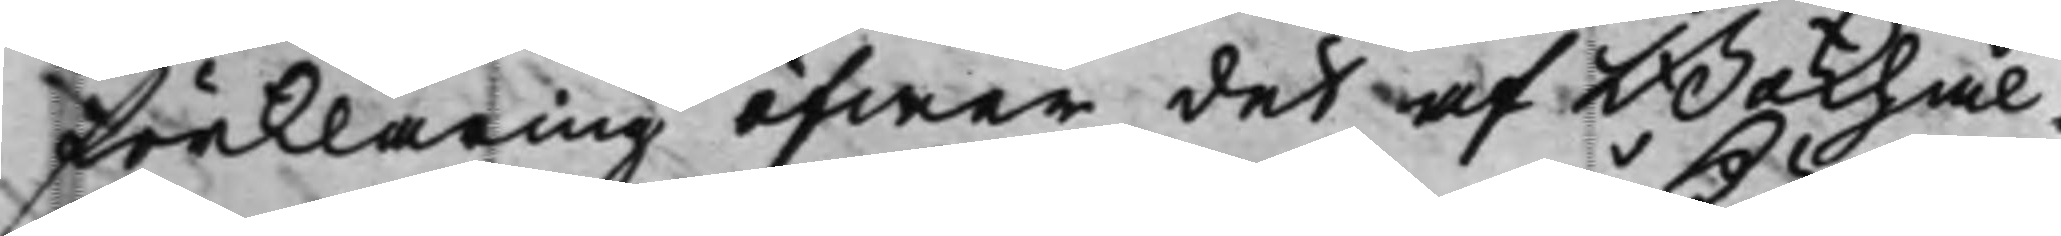förklaring öfwer det af Bokhål¬
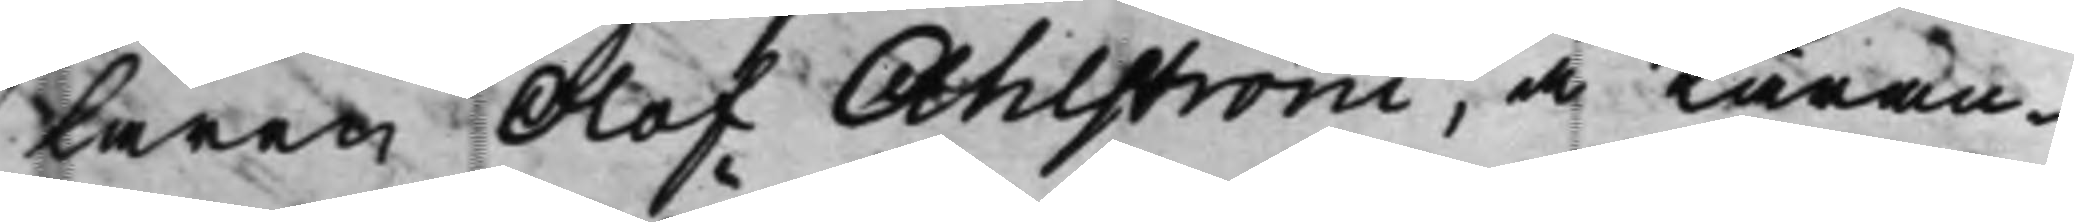laren Olof Ahlström, å Käran¬
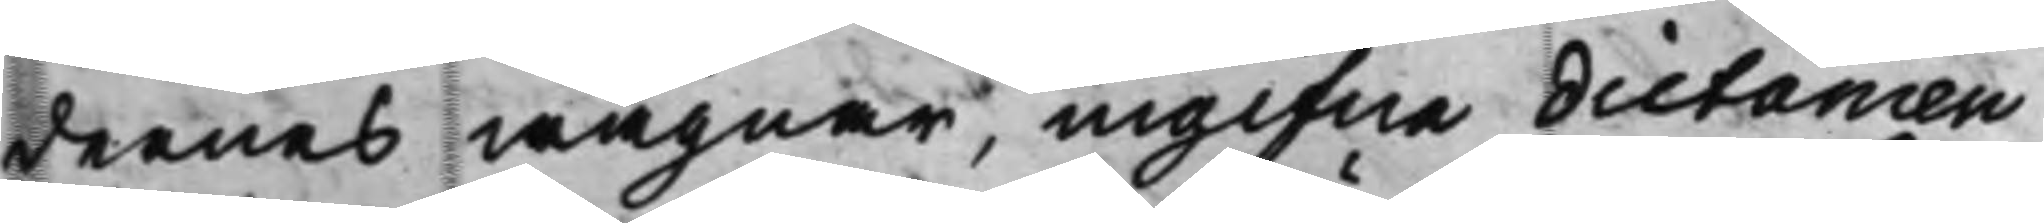dernes wägnar, ingifne dictamen
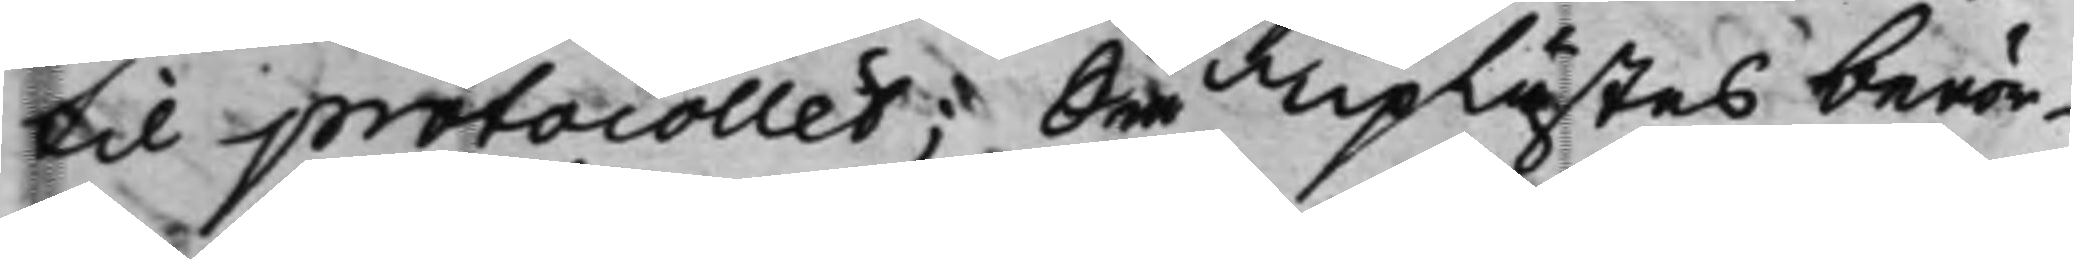til protocollet; Så Uplästes berör¬
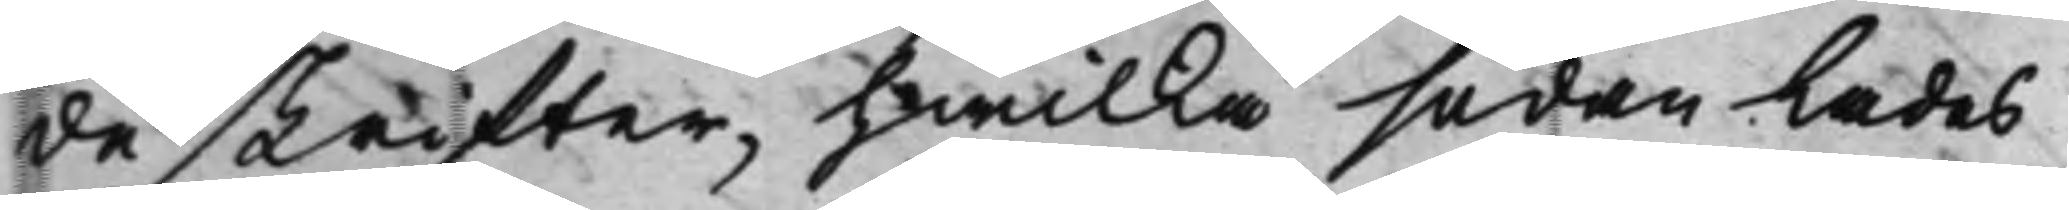de skrifter, hwilka sedan lades
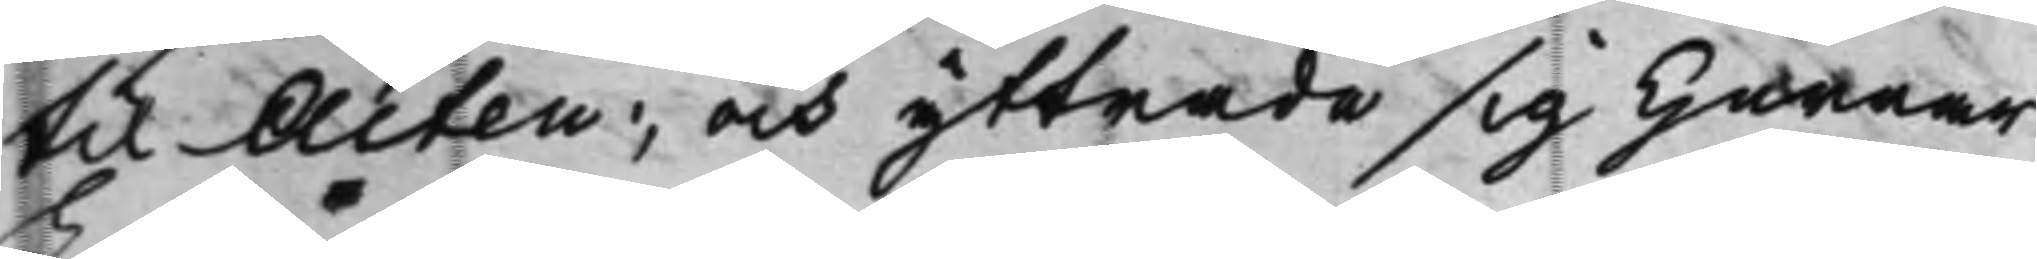til Acten; och yttrade sig Herrar
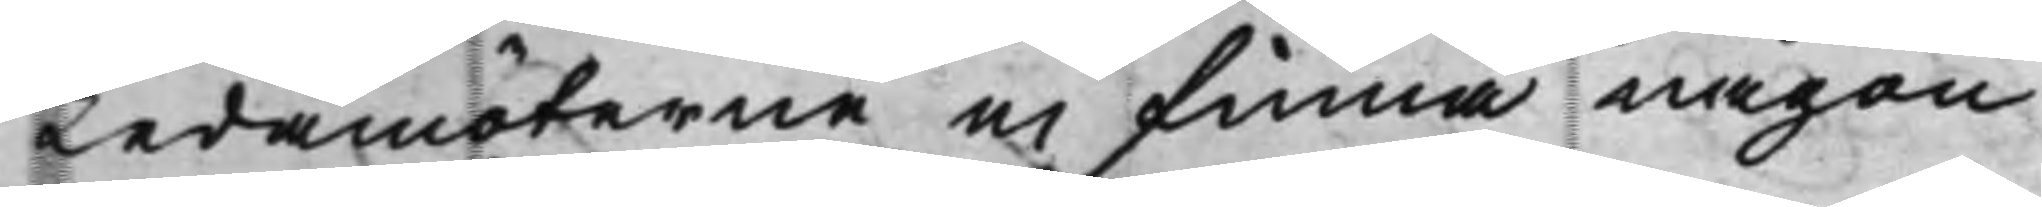Ledamöterne ei finna någon
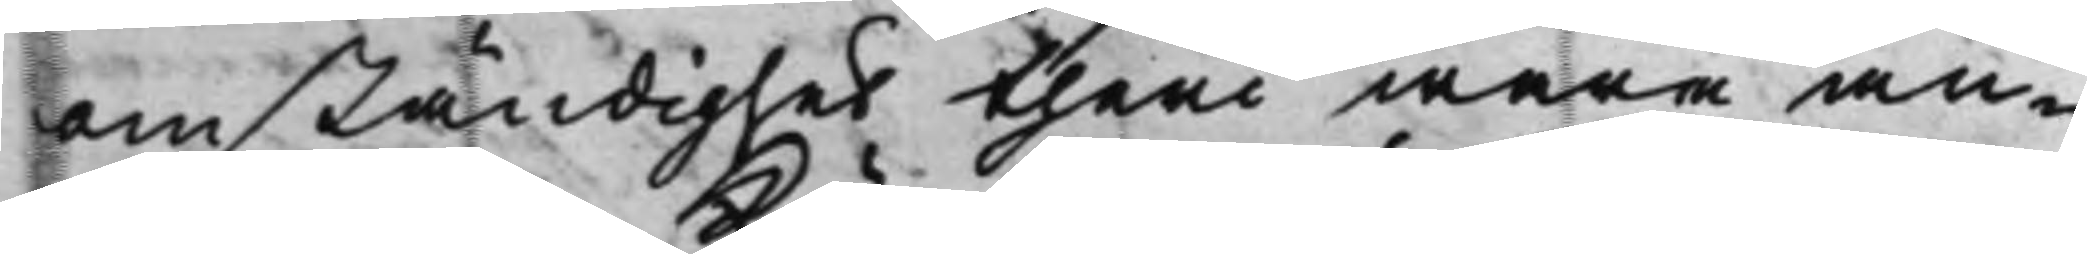omständighet theri wara an¬
